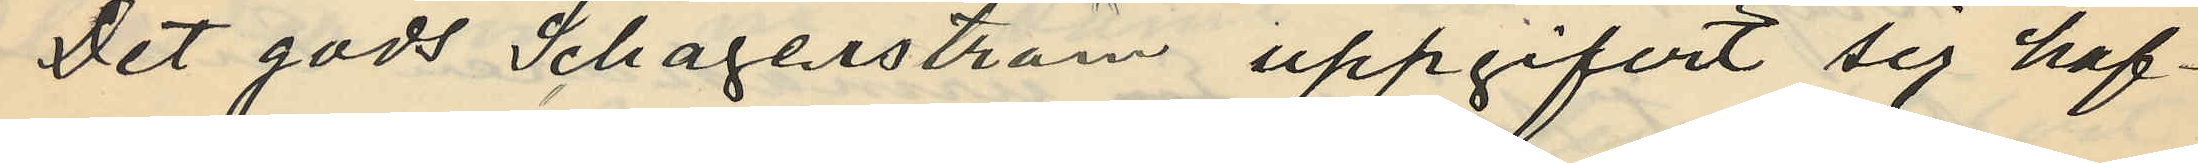Det gods Schagerström uppgifvit sig haf¬
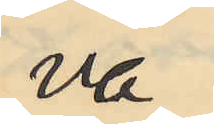va
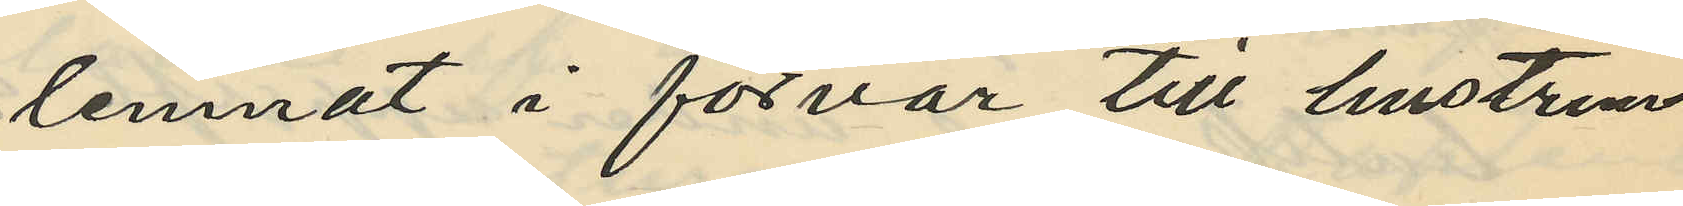lemnat i förvar till hustrun
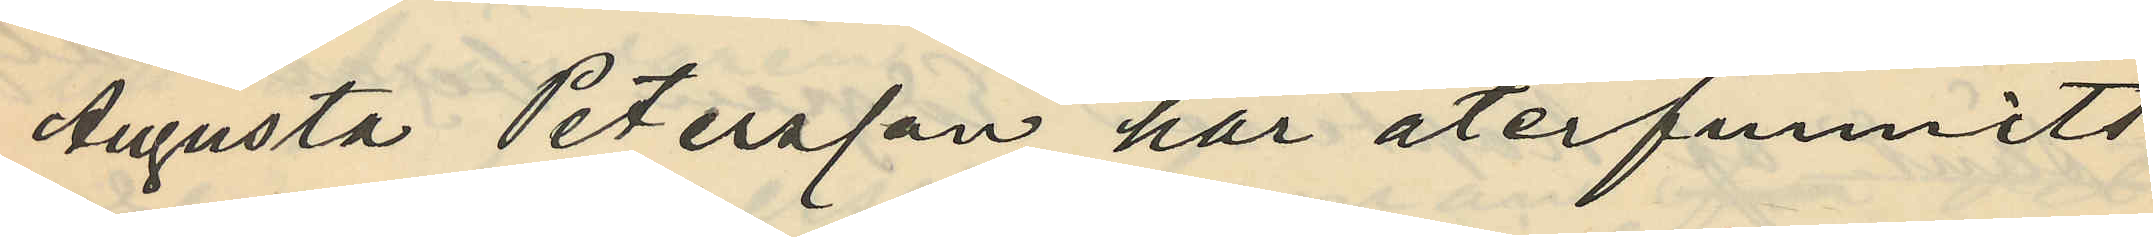Augusta Petersson har återfunnits
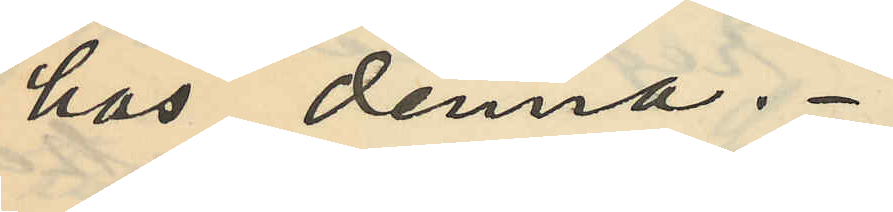hos denna.
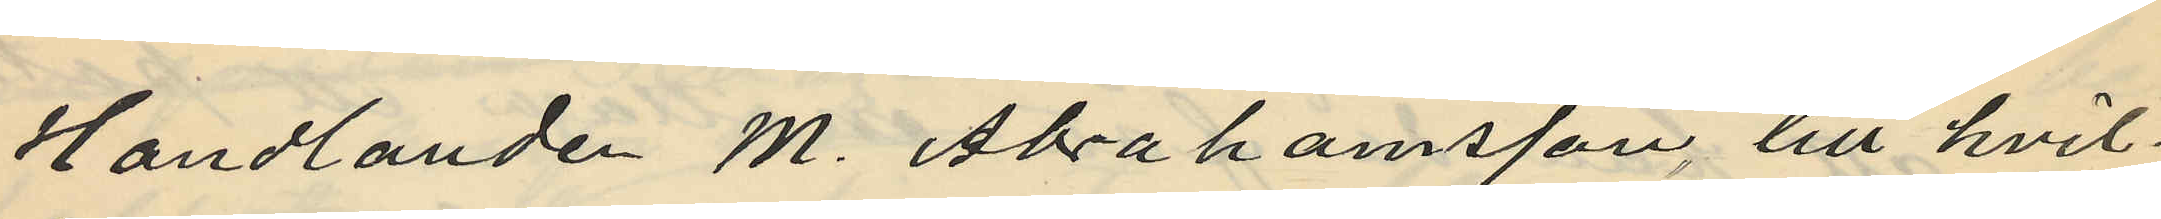Handlanden M. Abrahamsson, till hvil
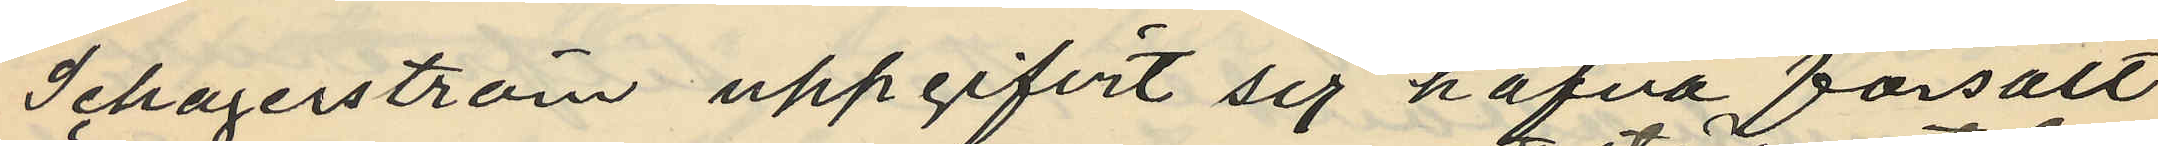Schagerström uppgifvit sig hafva försålt
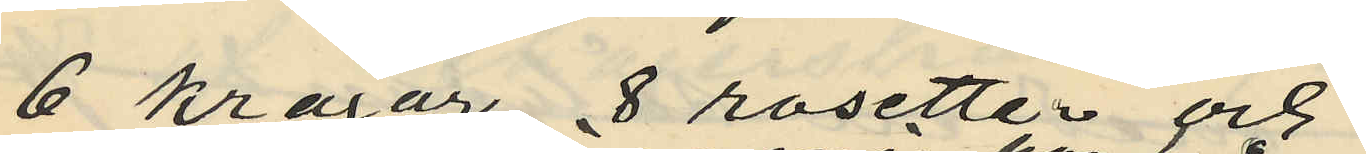6 kragar, 8 rosetter och
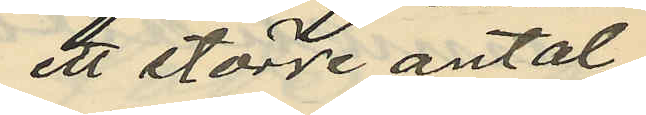ett större antal
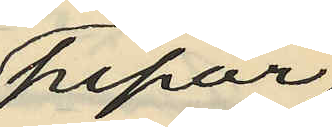pipor
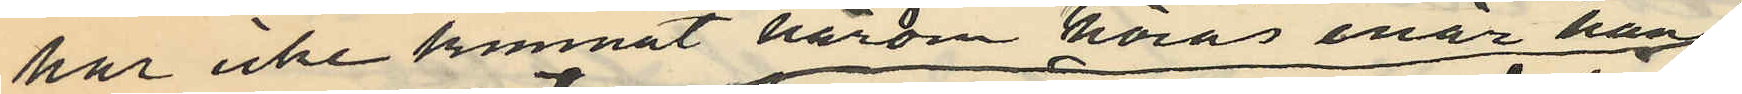har icke kunnat härom höras enär han
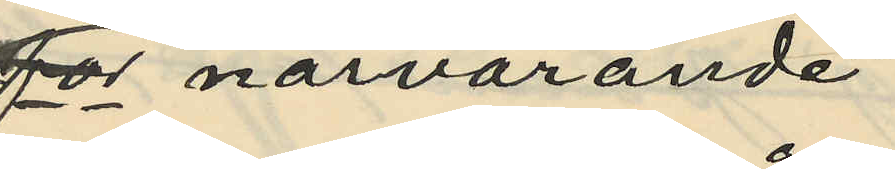för närvarande
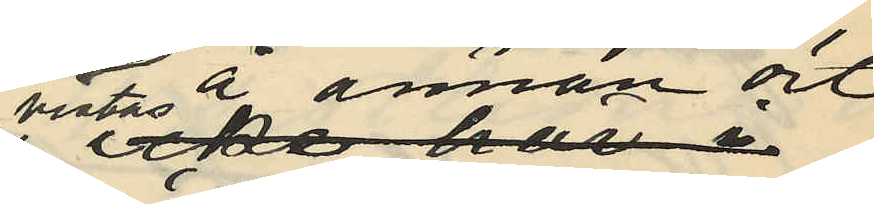vistas å annan ort
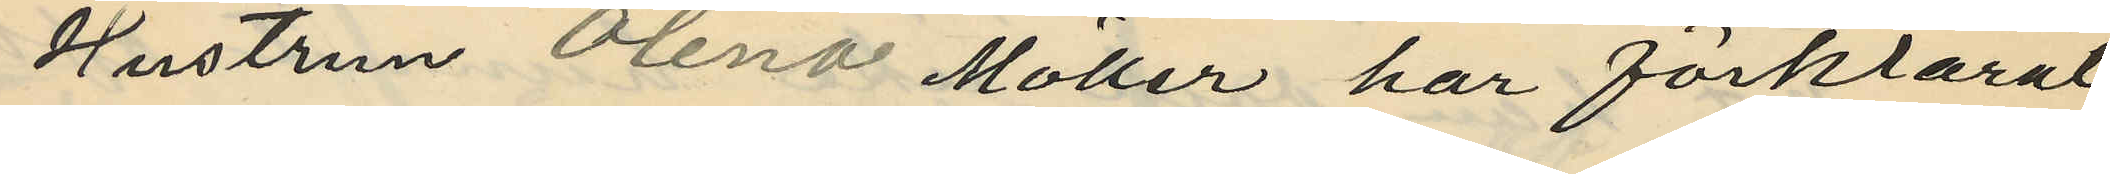Hustrun Olena Möller har förklarat,
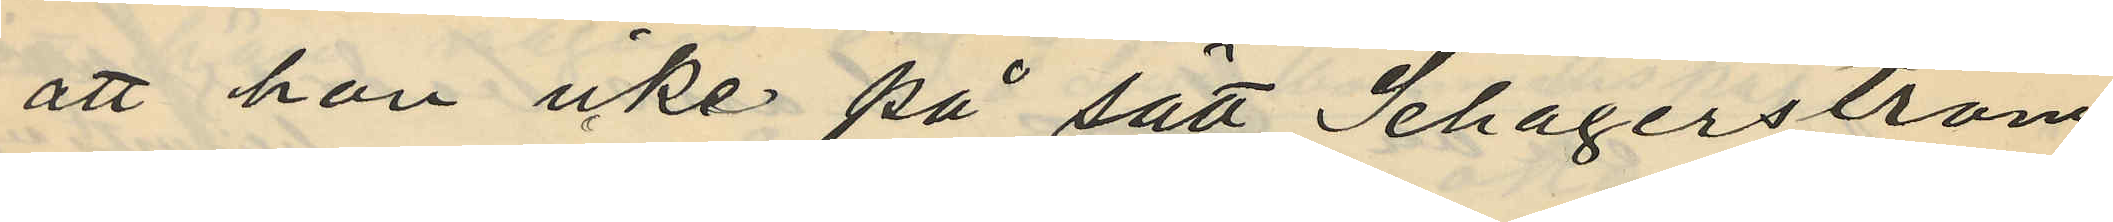att hon icke på sätt Schagerström
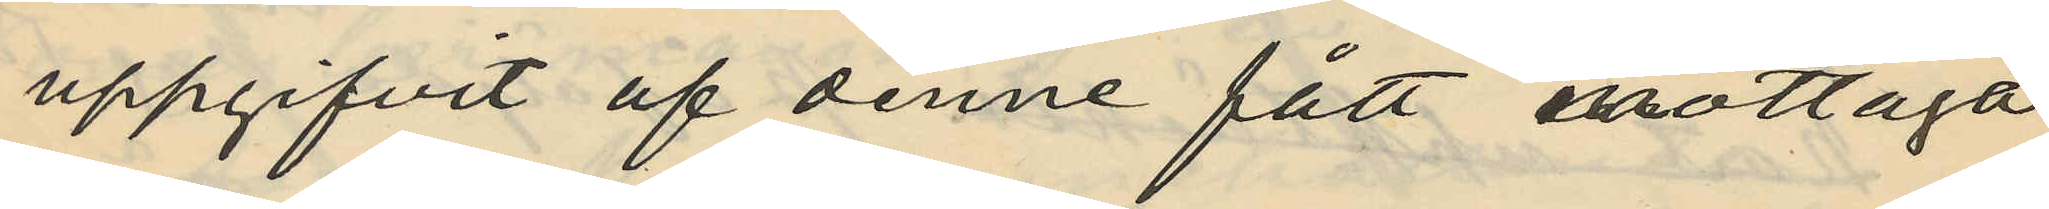uppgifvit af denne fått mottaga
